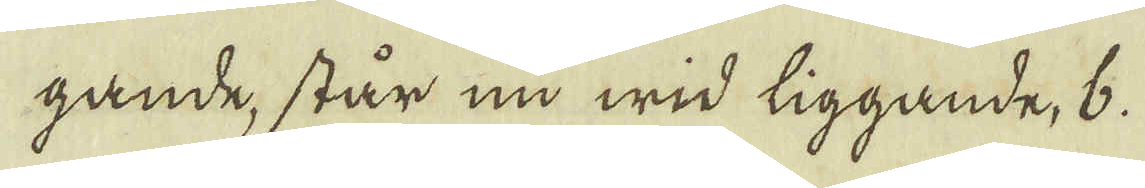gande, står nu wid liggande, b.
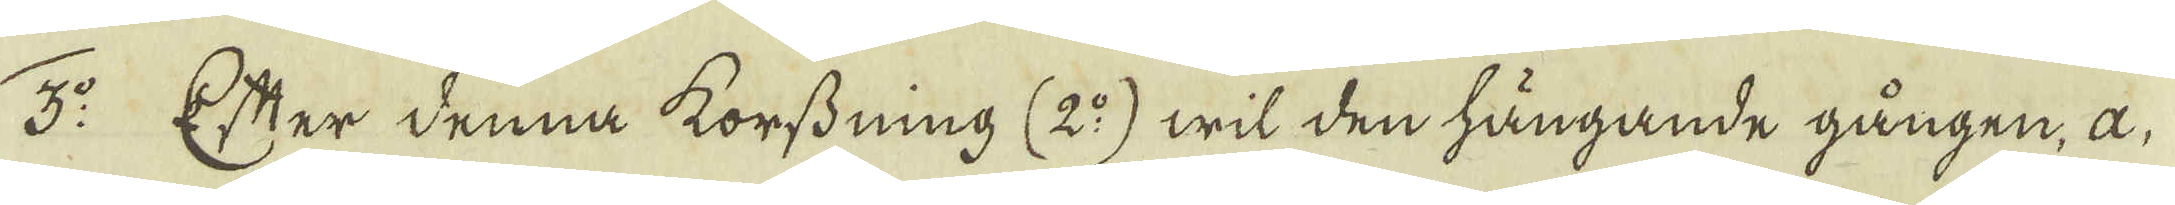3:o Efter denna korssning (2:o) wil den hängande gången, a,
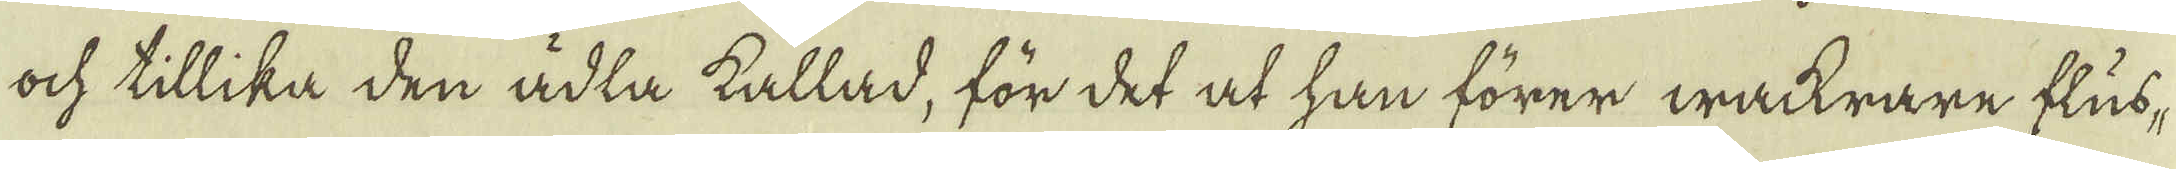ock tillika den ädla kallad, för det at han förer wackrare flus-
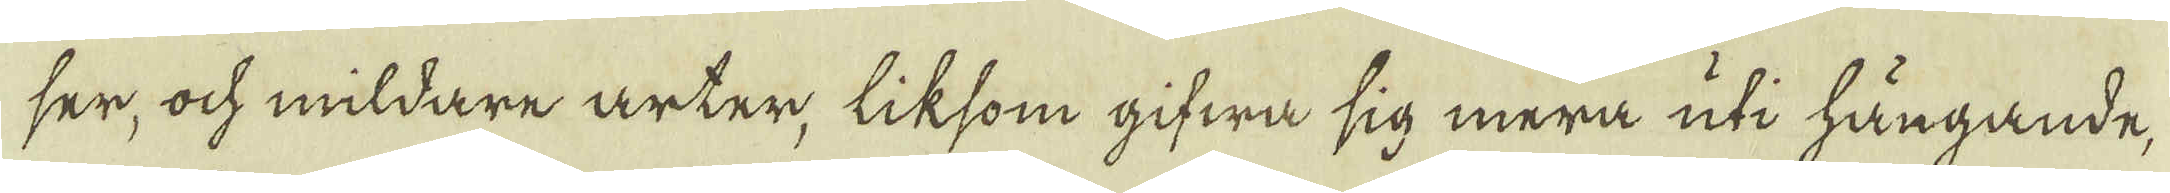ser, ock mildare arter, liksom gifwa sig mera uti hängande,
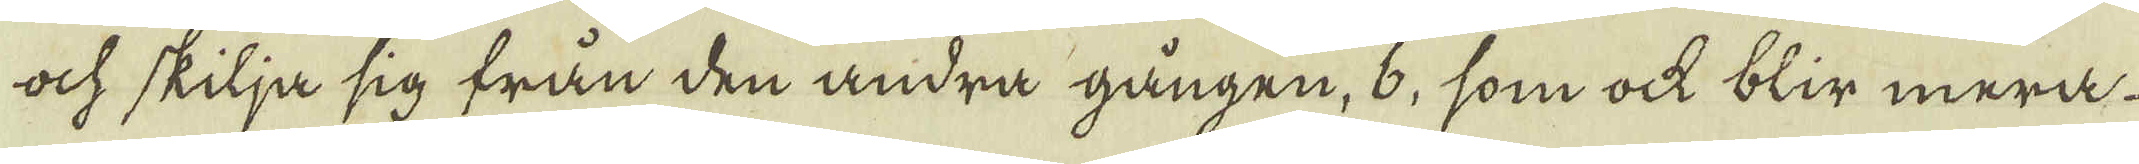ock skilja sig från den andra gången, b, som ock blir mera
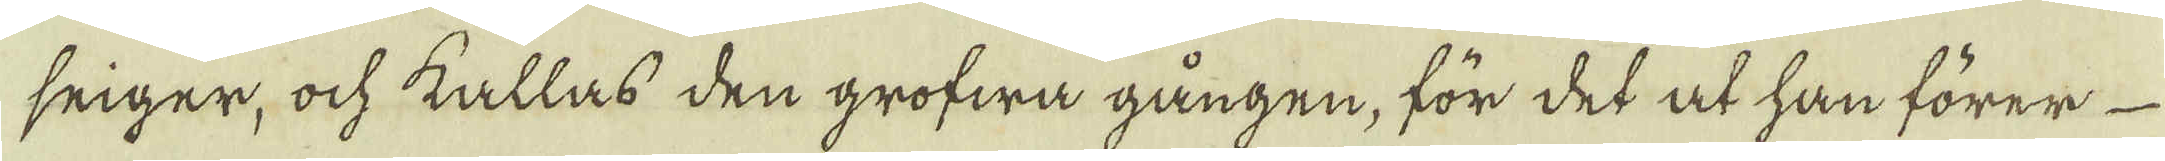seiger, ock kallas den grofwa gången, för det at han förer
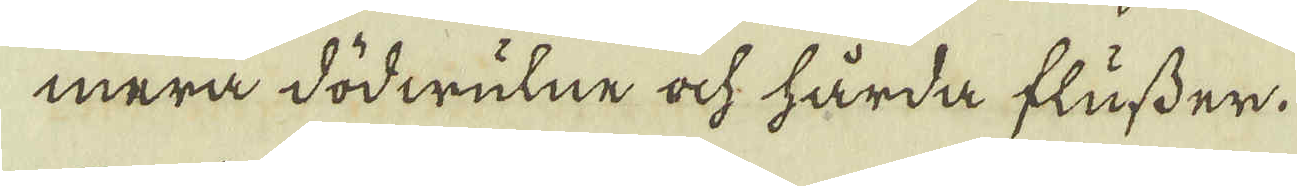mera dödwulne ock hårda flusser.
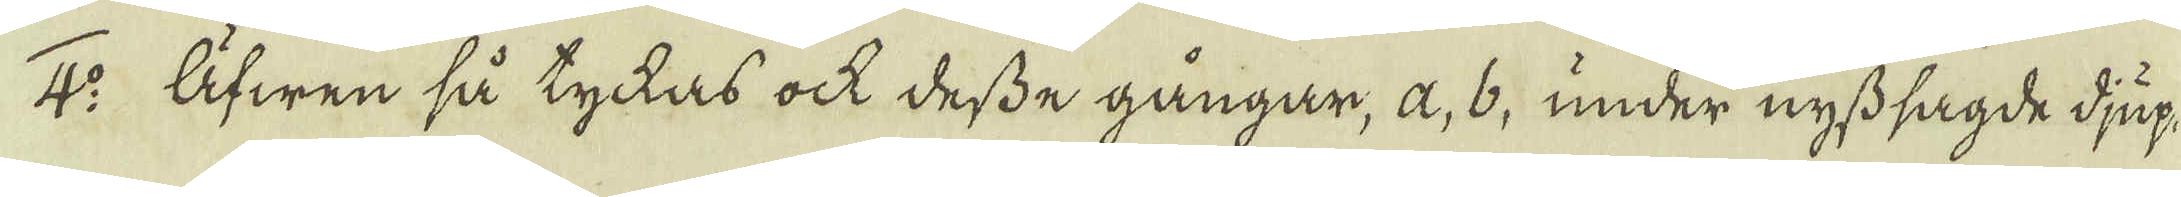4:o Äfwen så tyckas ock desse gångar, a, b, under nyss sagde djup,
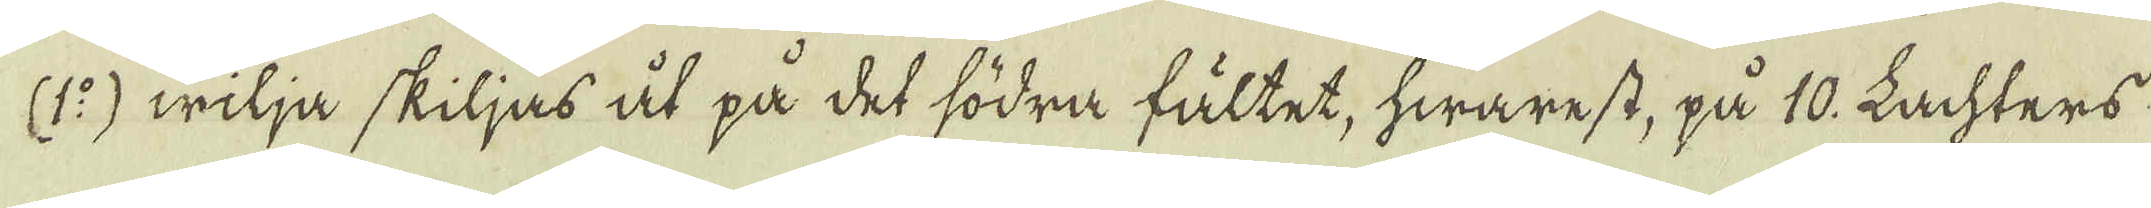(1:o) wilja skiljas åt på det södra fältet, hwarest, på 10. Lachters
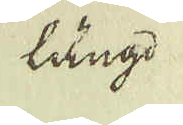längd
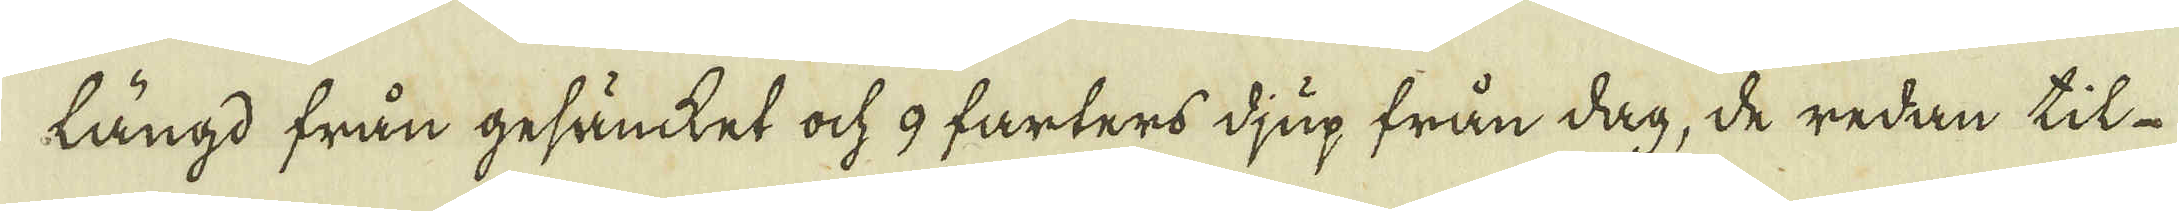längd från gesänket ock 9 farters djup från dag, de redan til
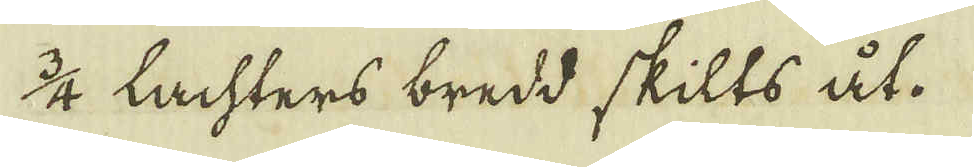3/4 Lachters bredd skilts åt.
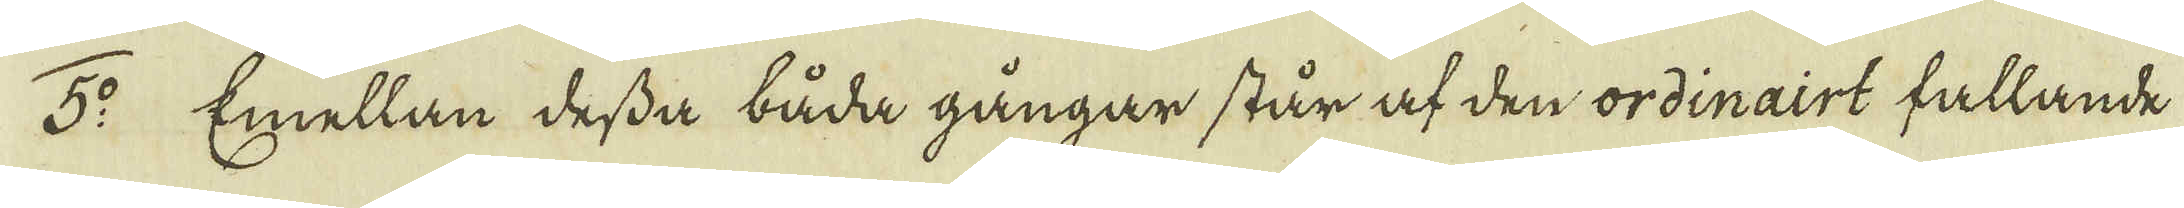5:o Emellan dessa båda gångar står af den ordinairt fallande
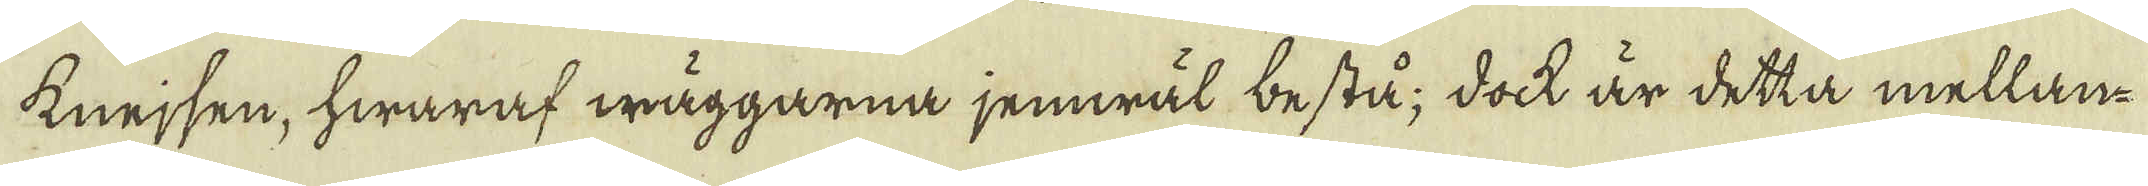Knejsen, hwaraf wäggarna jemwäl bestå; dock är detta mellan
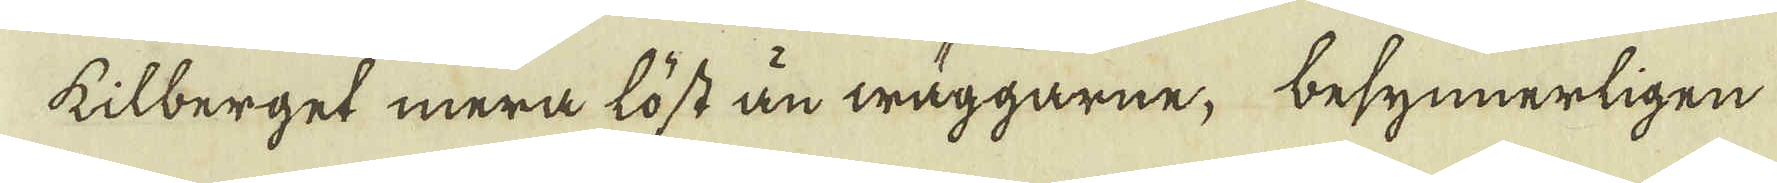kilberget mera löst än wäggarne, besynnerligen
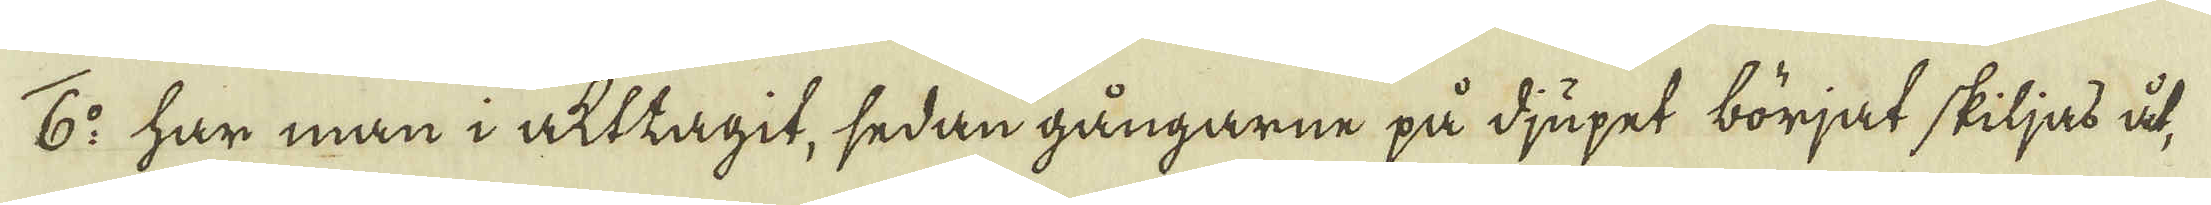6:o har man i akttagit, sedan gångarne på djupet börjat skiljas åt,
